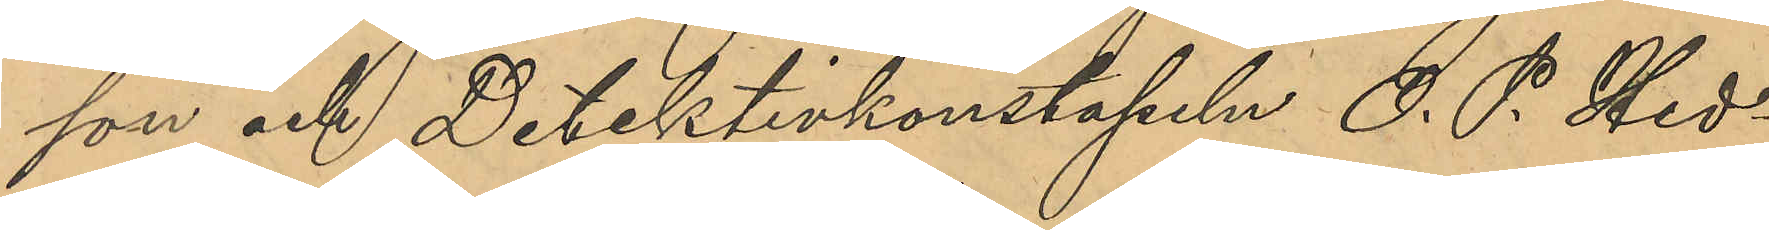son och Detektivkonstapeln O. P. Hed¬
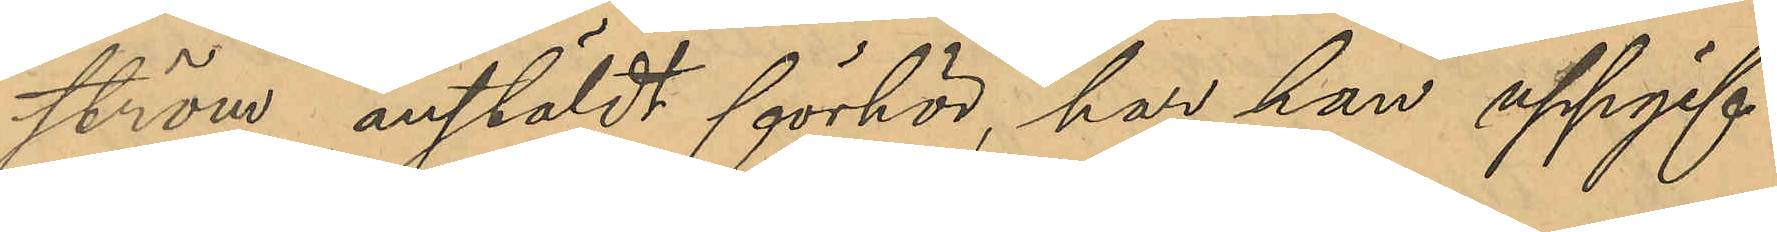ström anstäldt förhör, har hon uppgif¬
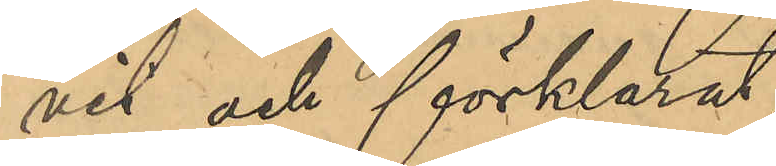vit och förklarat,
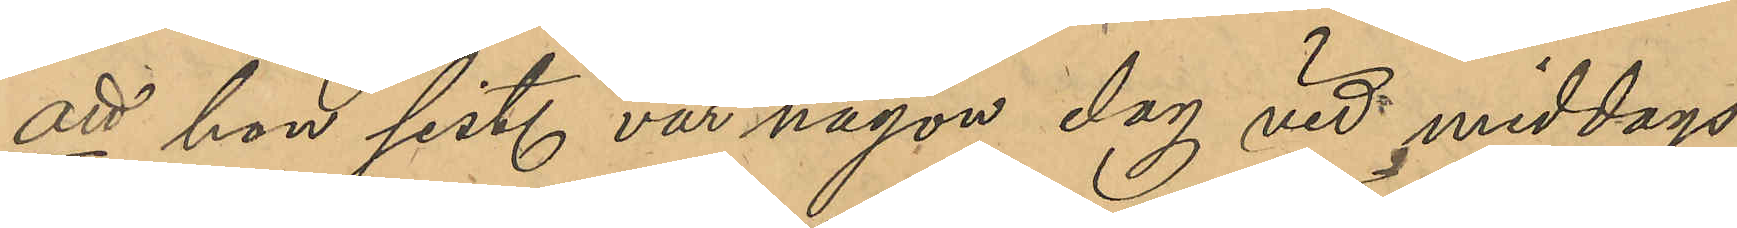att hon sist. vår någon dag vid middags¬
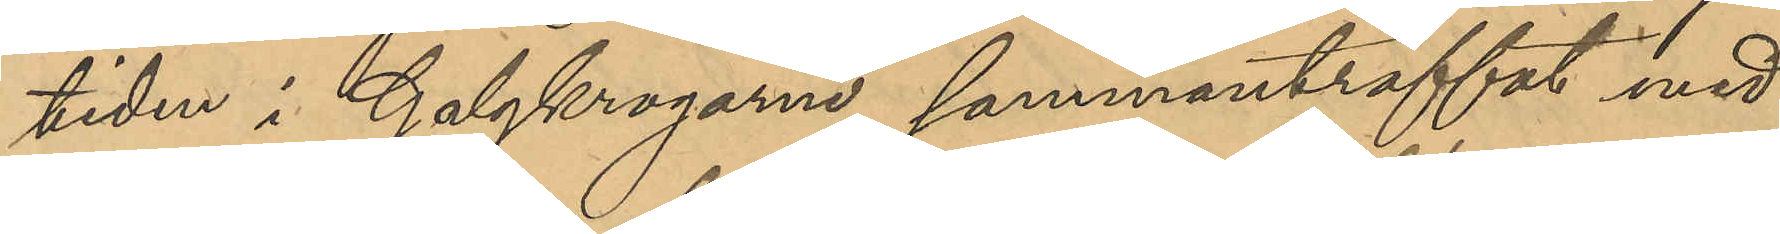tiden i Galgkrogarne sammanträffat med
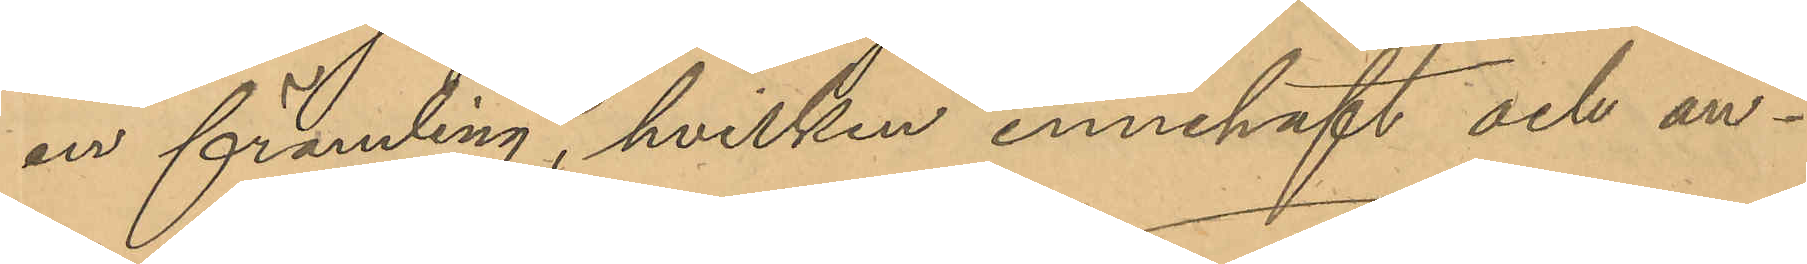en främling, hvilken innehaft och an¬
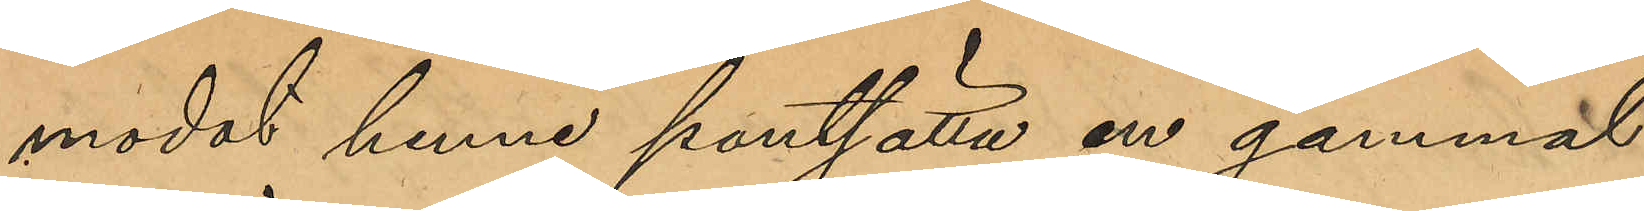modat henne pantsätta en gammal
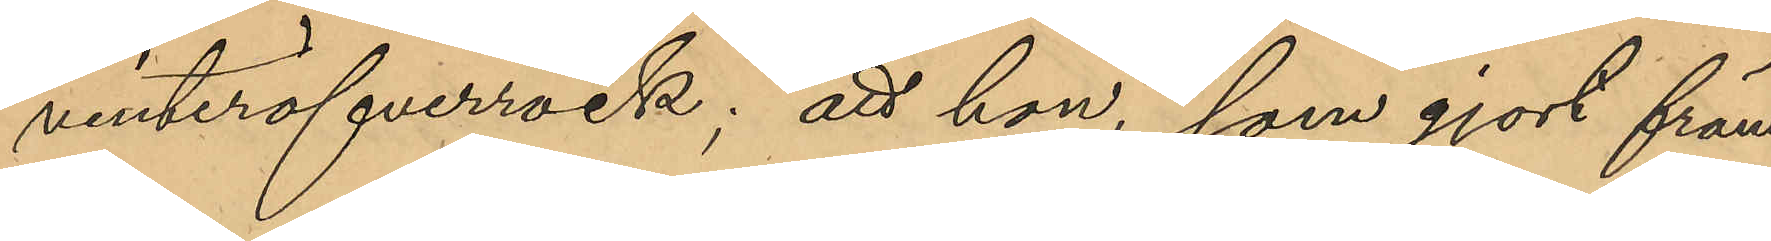vinteröfverrock; att hon, som gjort främ¬
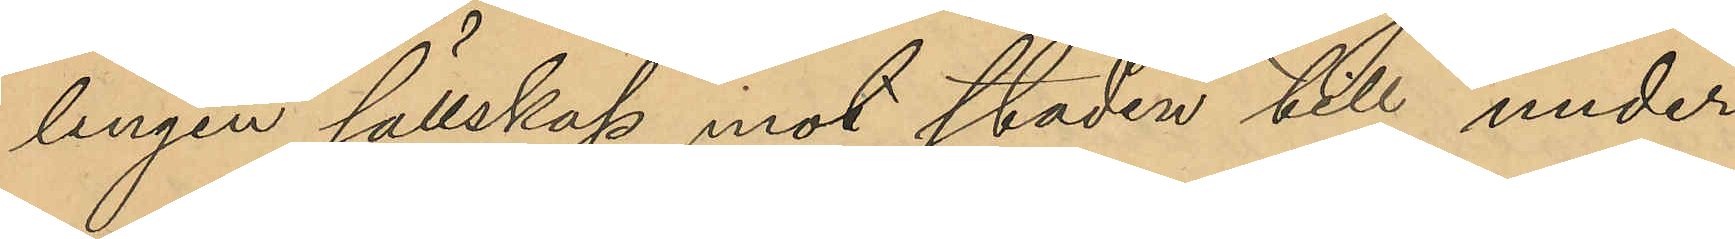lingen sällskap mot staden till under
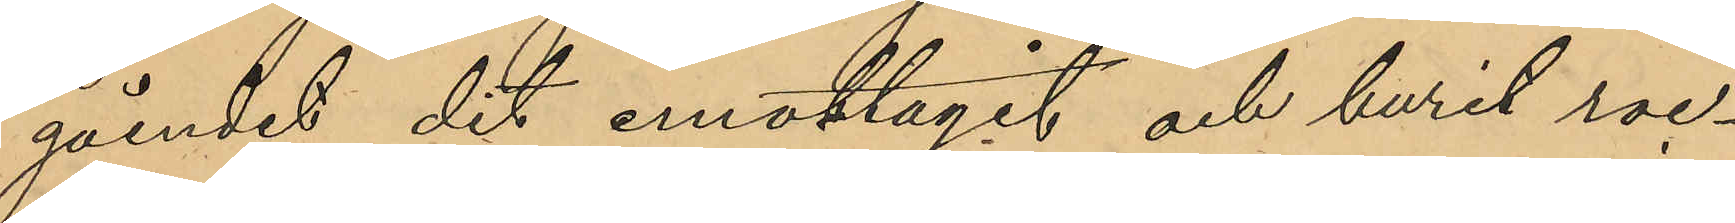gåendet dit emottagit och burit roc¬
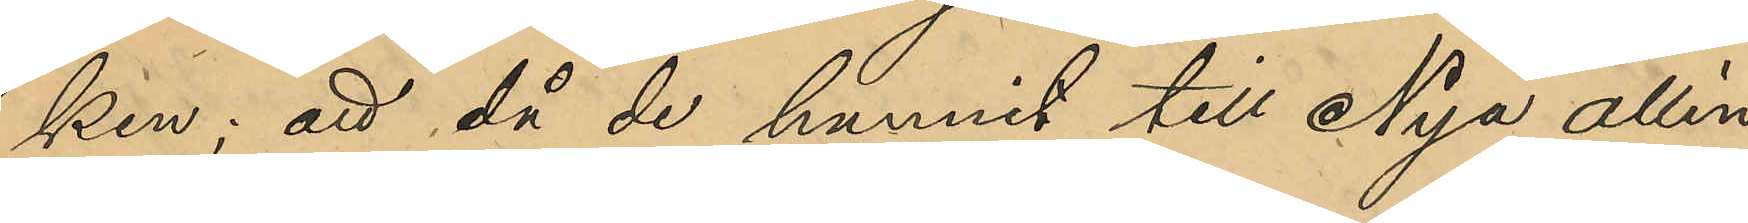ken; att då de kommit till Nya allén
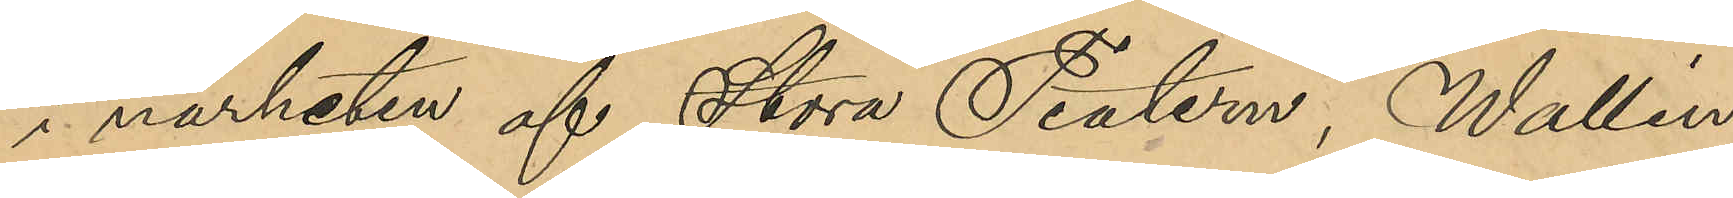i närheten af Stora Teatern, Wallin
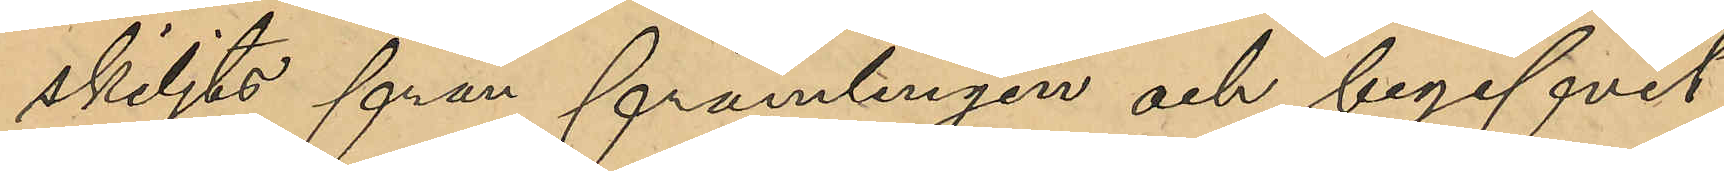skiljts från främlingen och begifvit
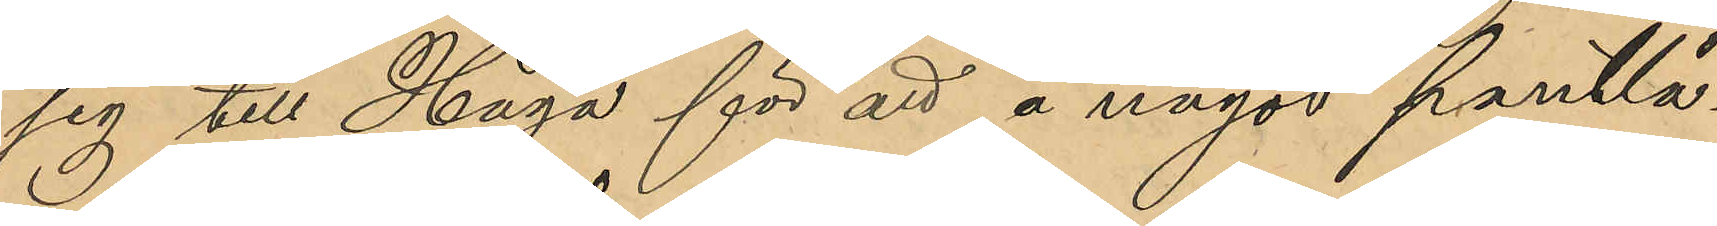sig till Haga för att å något Pantlå¬
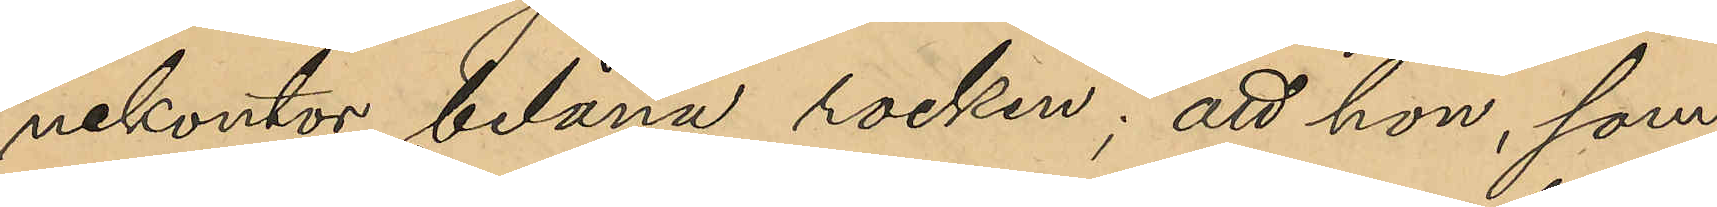nekontor belåna rocken; att hon, som
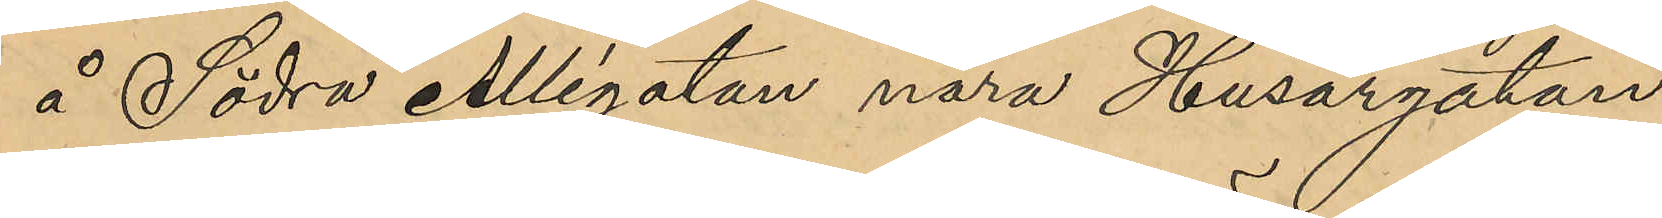å Södra Allégatan nära Husargatan
